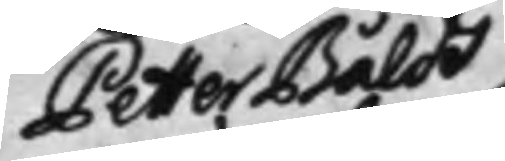Petter Bålds
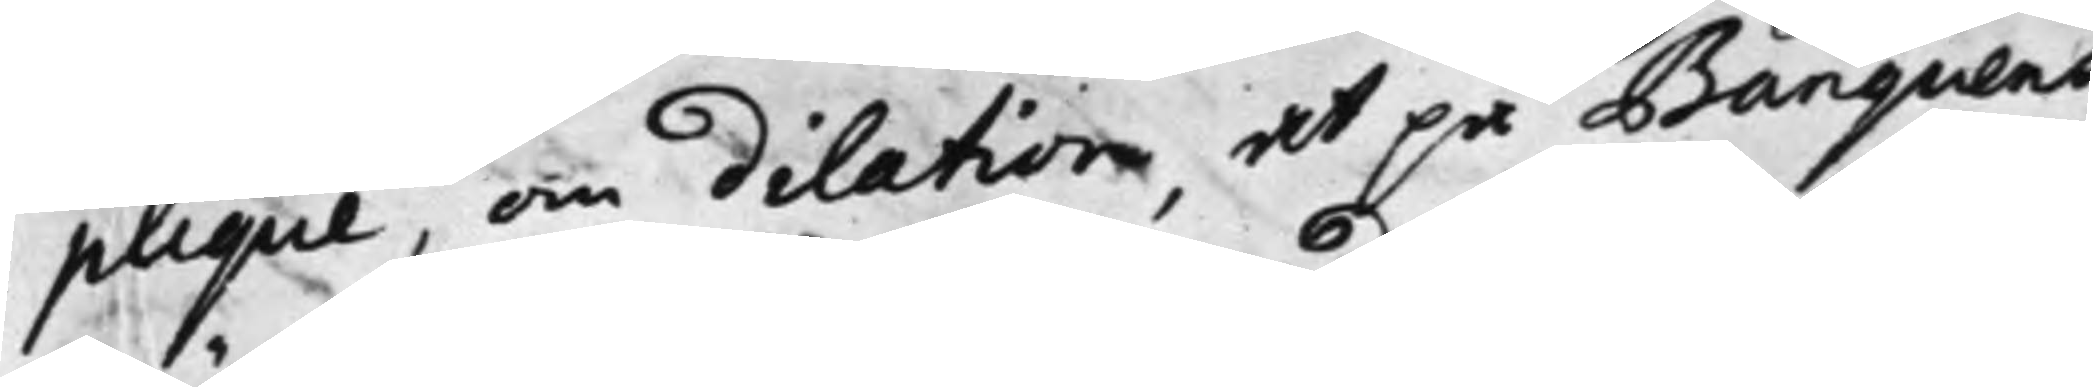plique, om dilation, at på Banquens
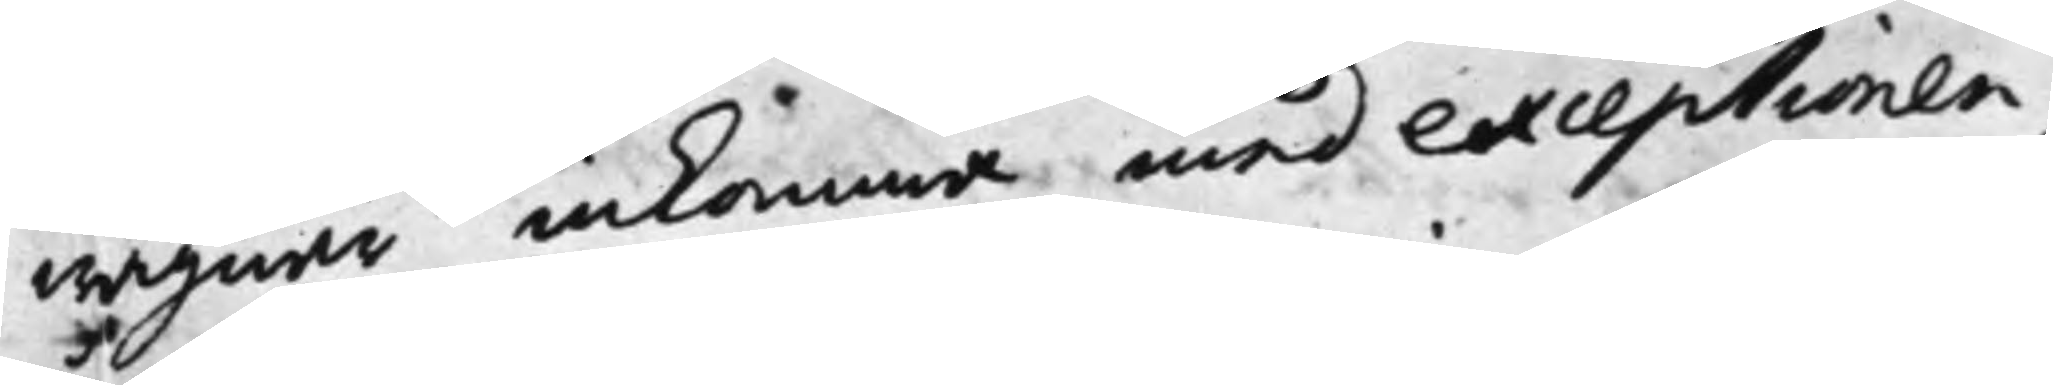wägnar inkomma med exceptionen,
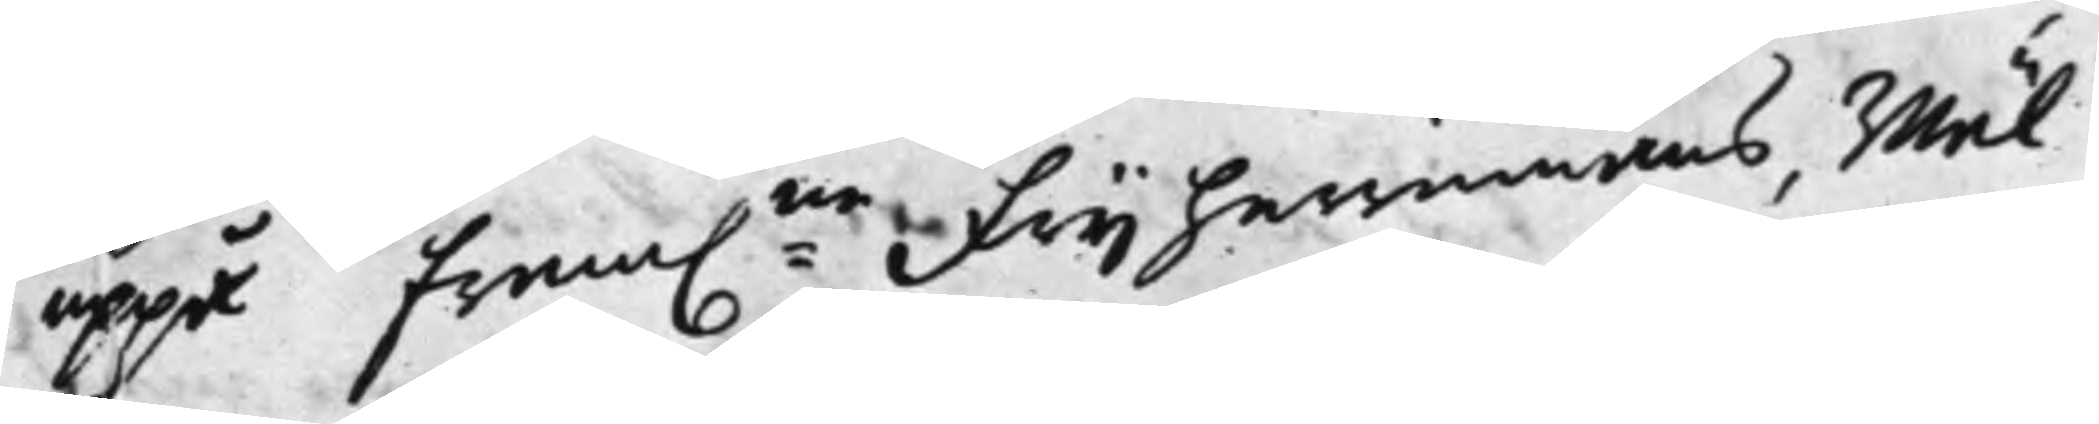uppå fram:ne Frijherrinnans, Wäl¬
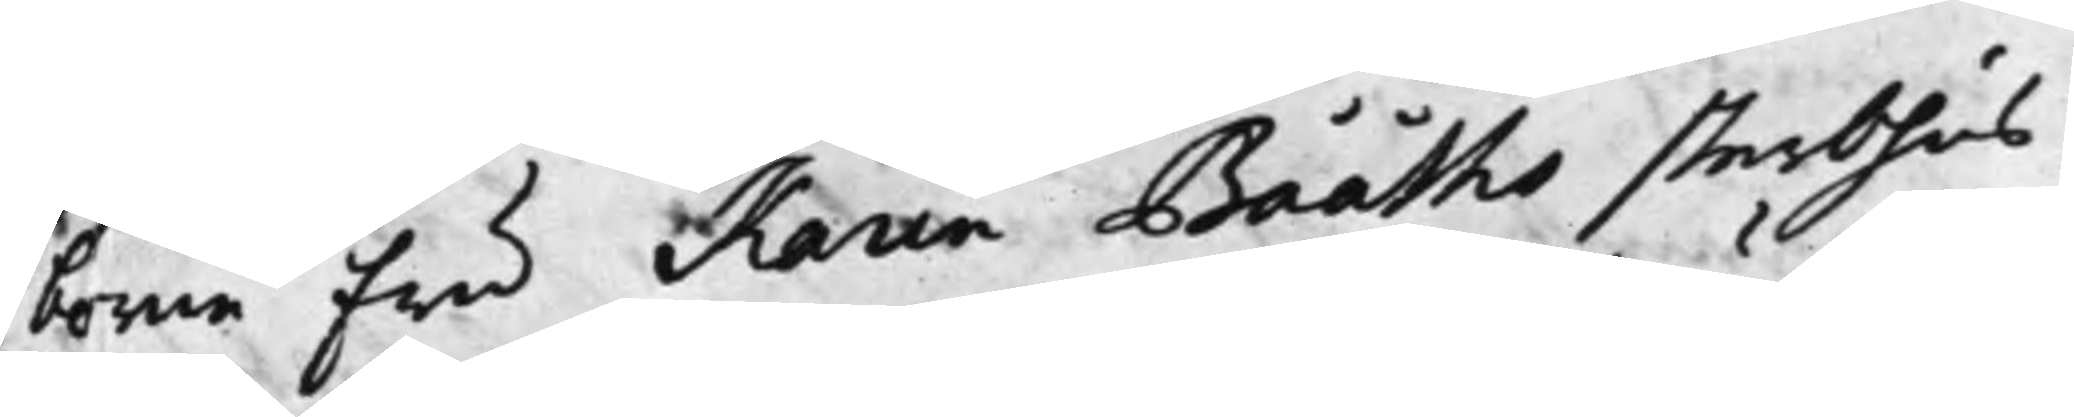borne Fru Karin Bååths sterbhus
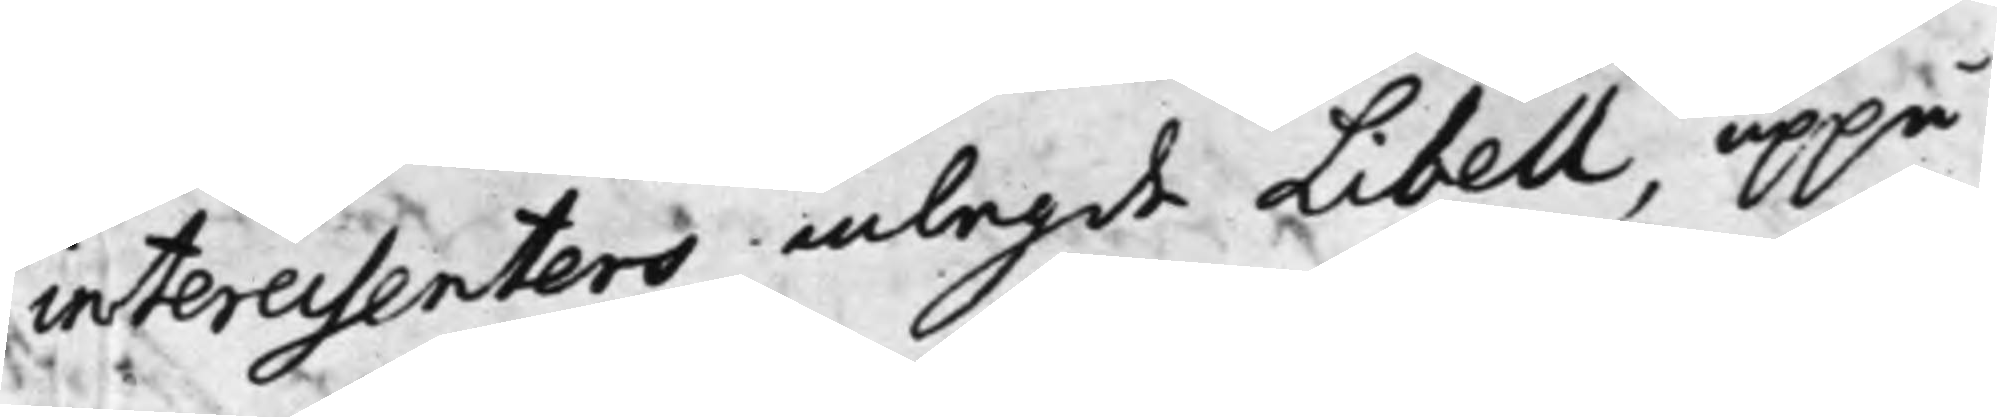interessenters inlagde Libell, uppå
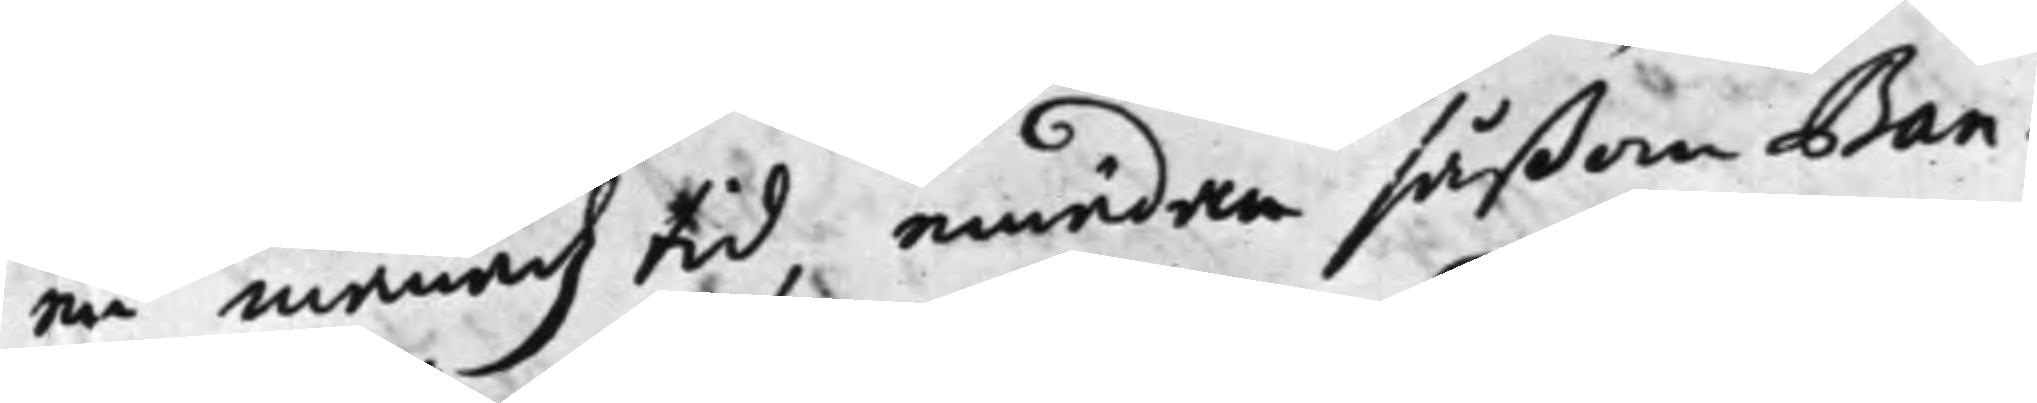en månadz tid, emedan såßom Ban¬
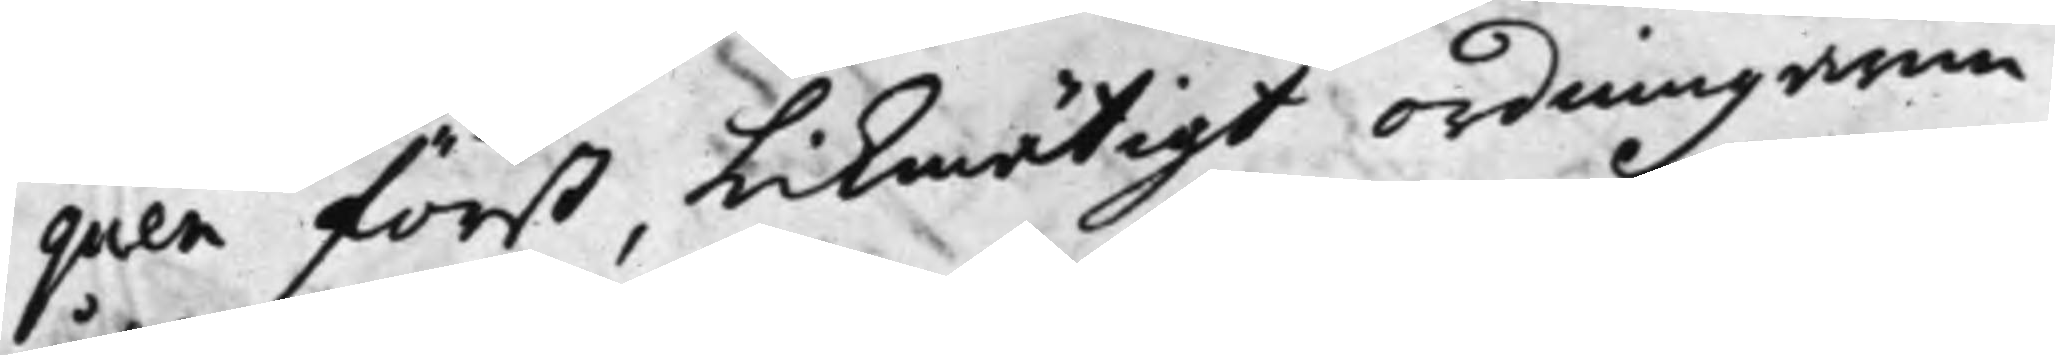quen först, Likmätigt ordningarne
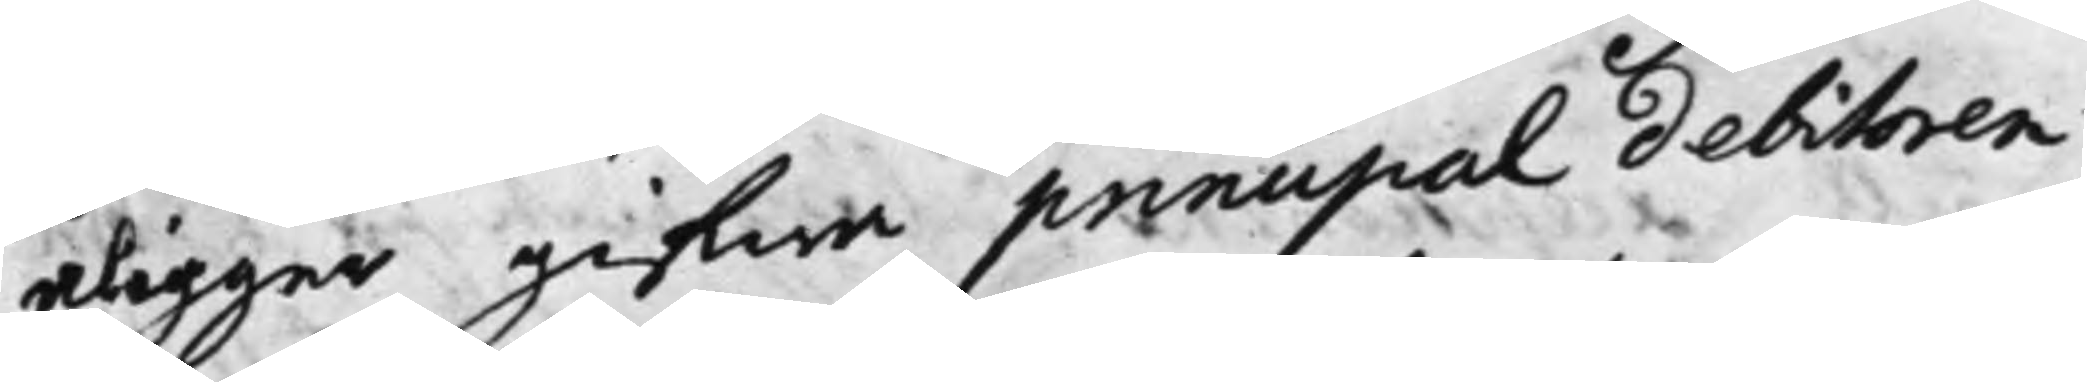åligger gifwa principal debitoren
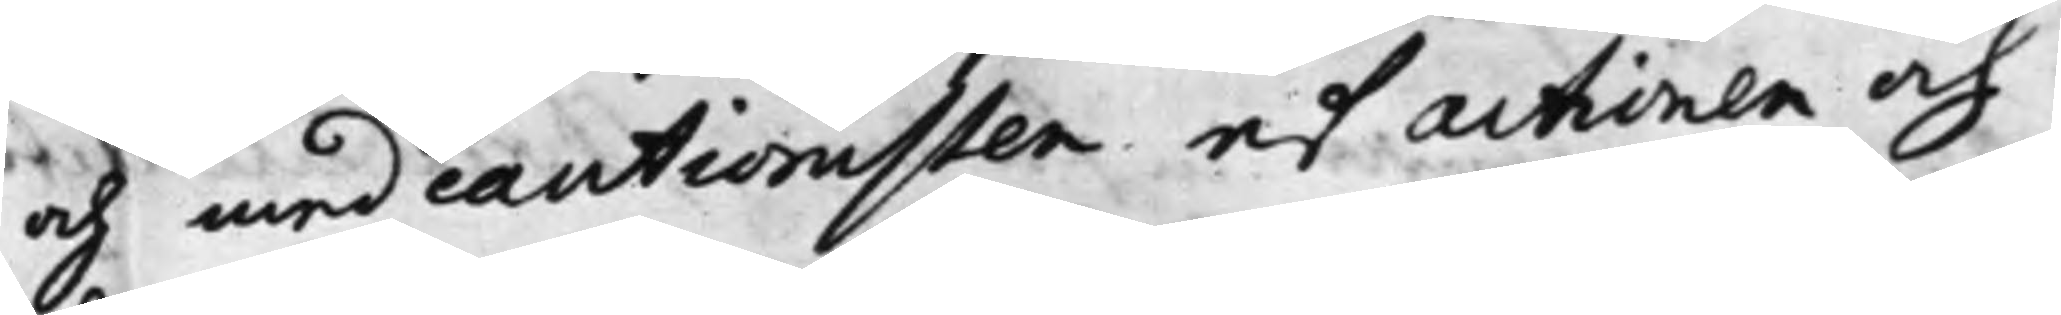och med cautionisten af actionen och
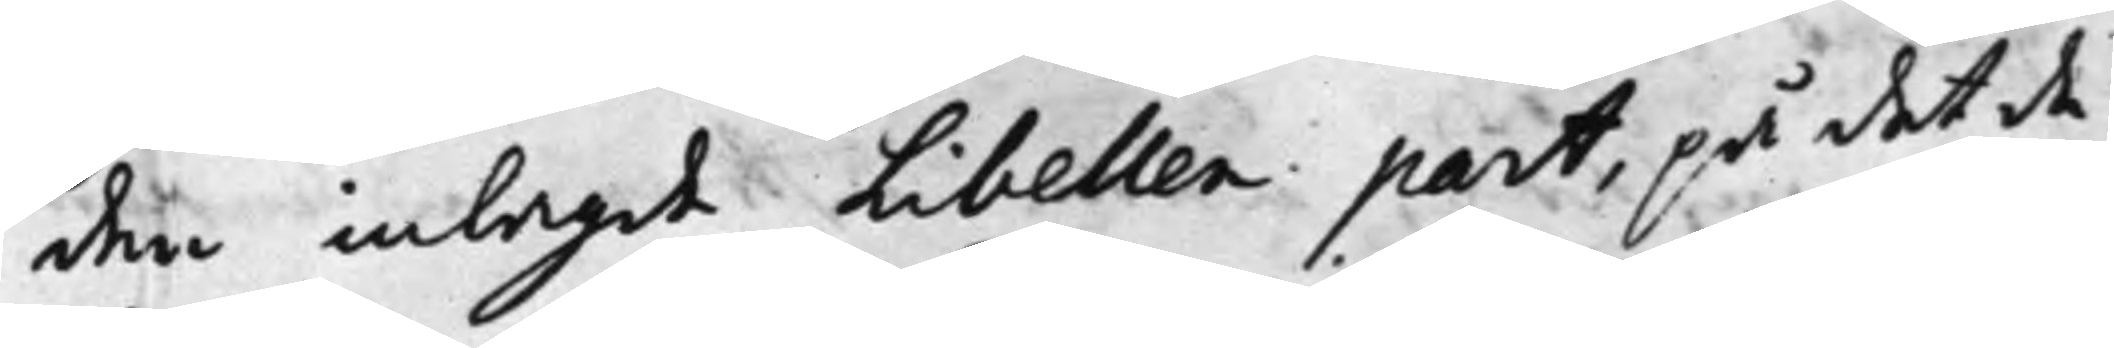den inlagde Libellen part, på det de
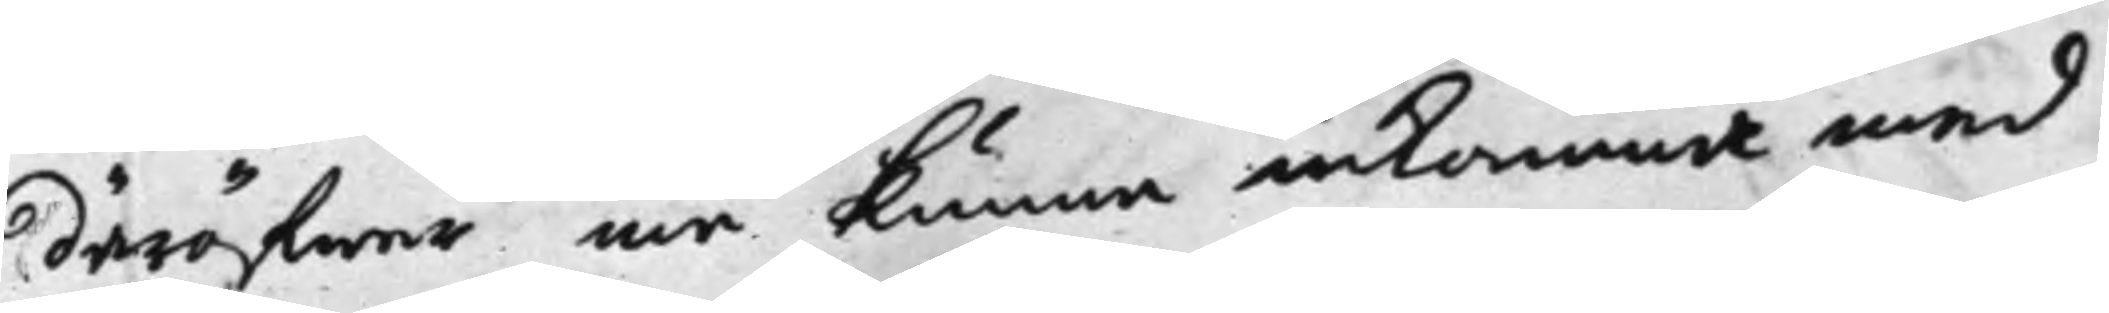däröfwer må kunna inkomma med
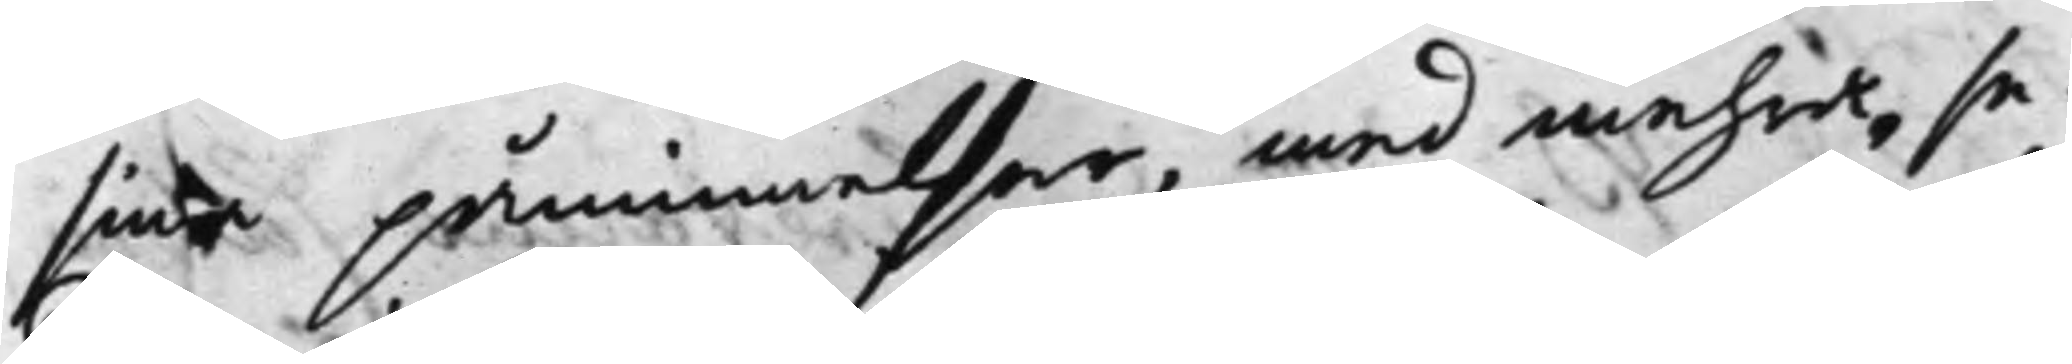sina påminnelser, med mehra, se¬
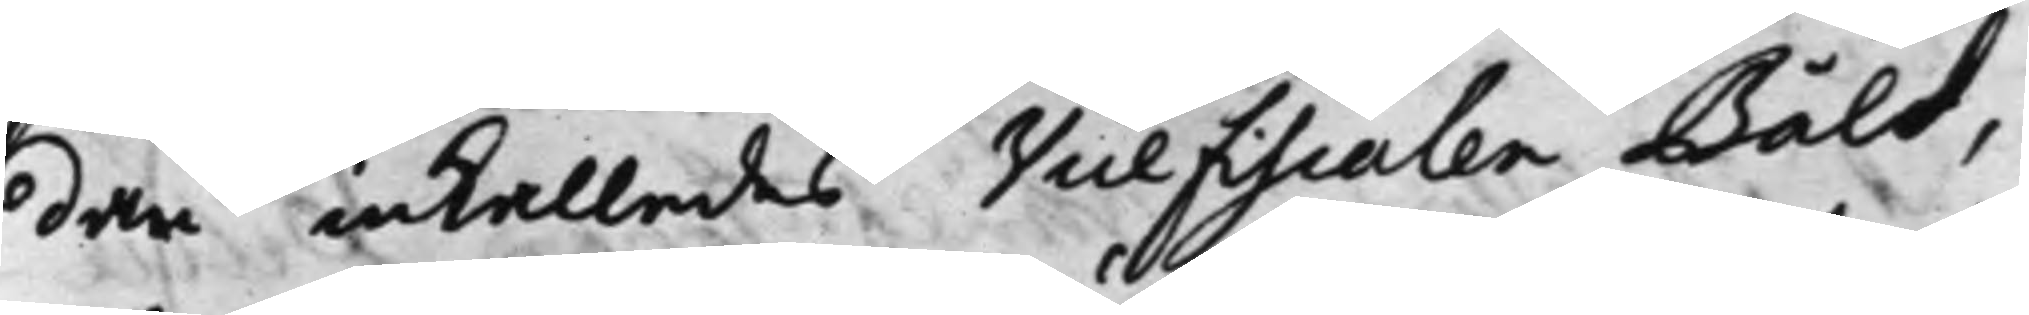dan inkallades Vice Fiscalen Båld,
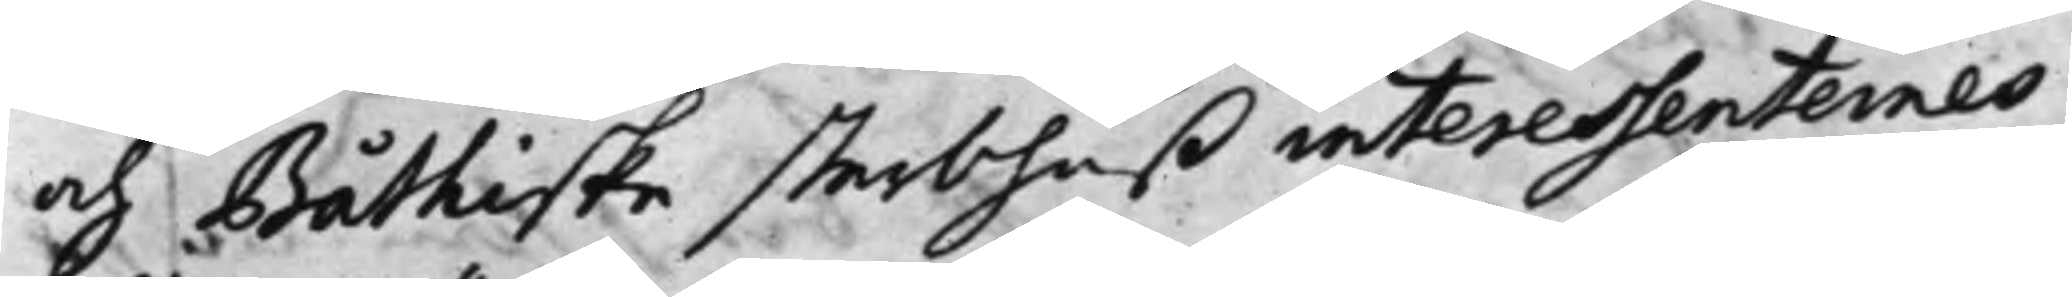och Båthiske sterbhuß interessenternes
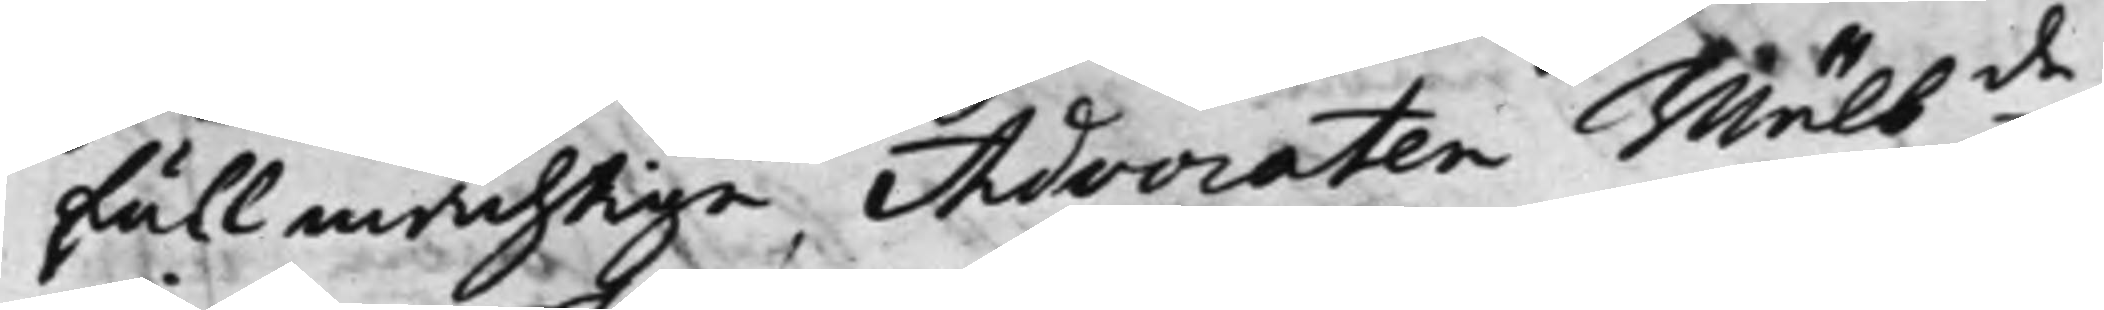fullmächtige, Advocaten Wälb.de
